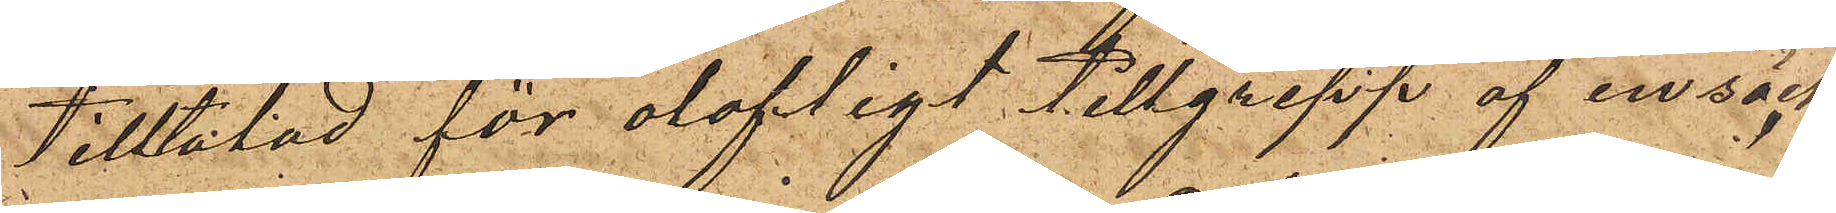tilltalad för olofligt tillgrepp af en säck
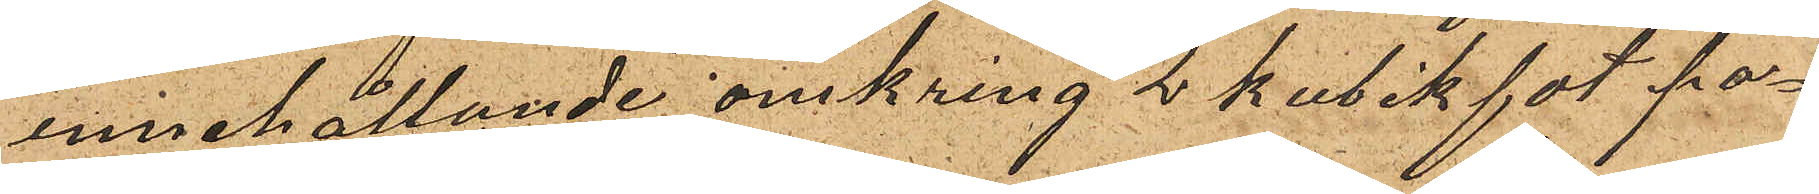innehållande omkring 2 kubikfot po¬
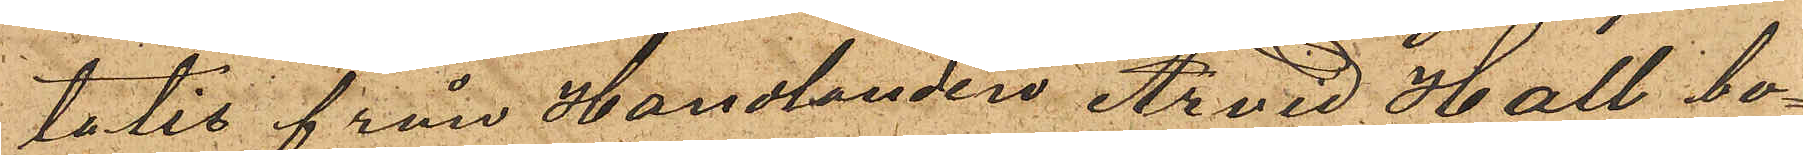tatis från Handlanden Arvid Hall bo¬
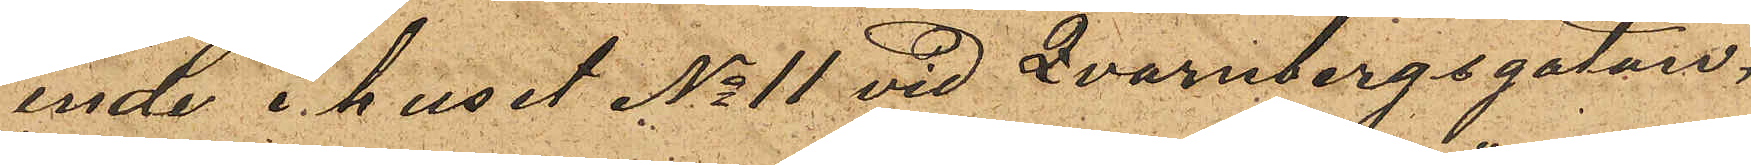ende i huset No 11 vid Qvarnbergsgatan,
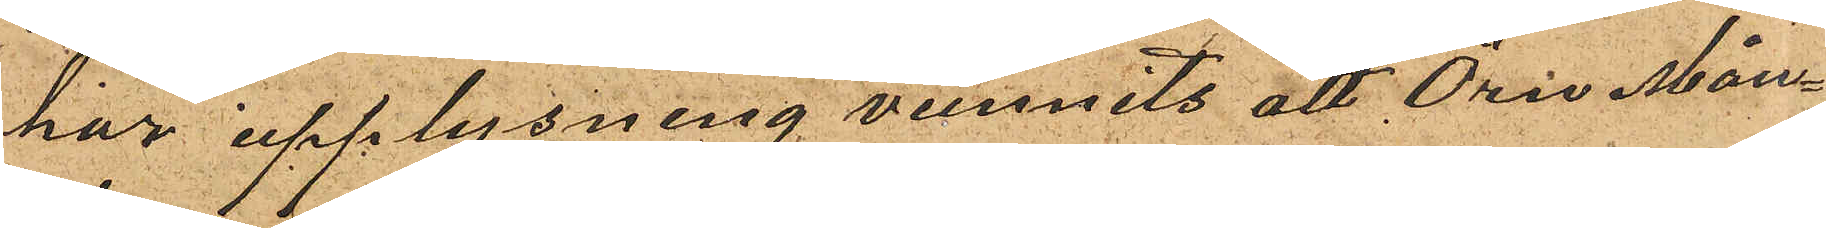har upplysning vunnits att Örn Mån¬
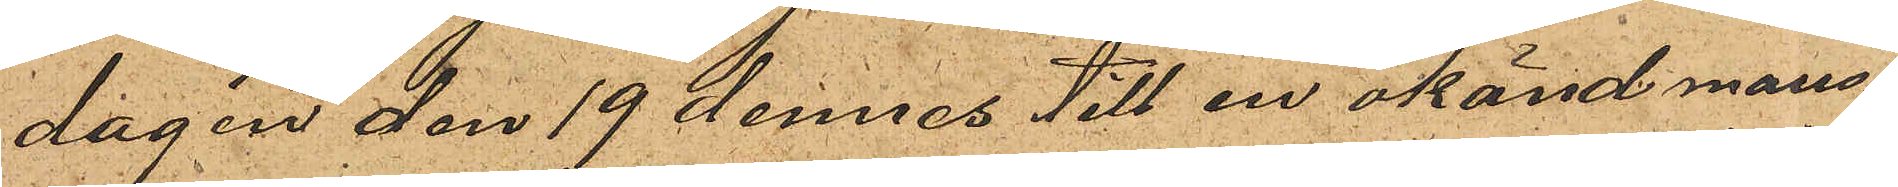dagen den 19 dennes till en okänd mans¬
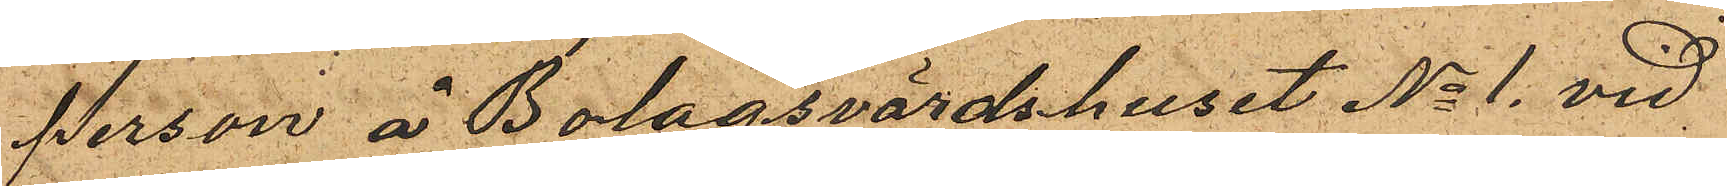person å Bolagsvärdshuset No 1 vid
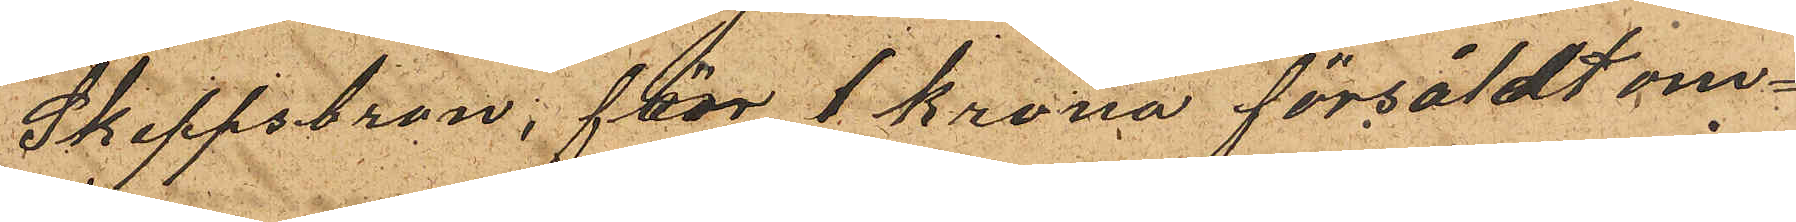Skeppsbron, för 1 krona försåldt om¬
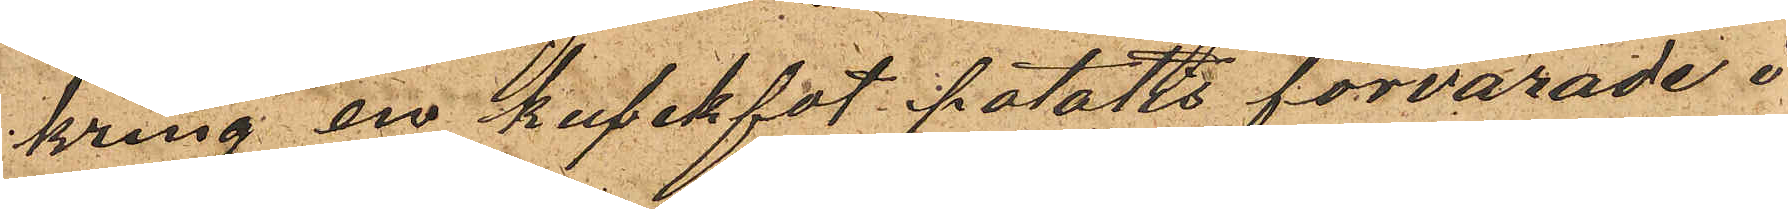kring en kubikfot potatis förvarade i
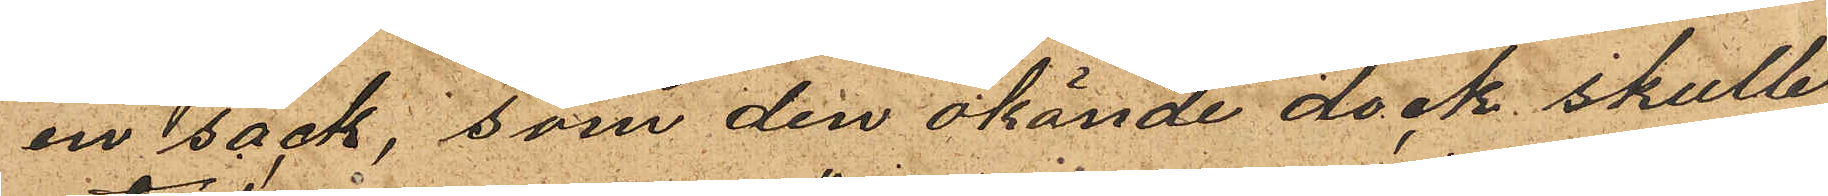en säck, som den okände dock skulle
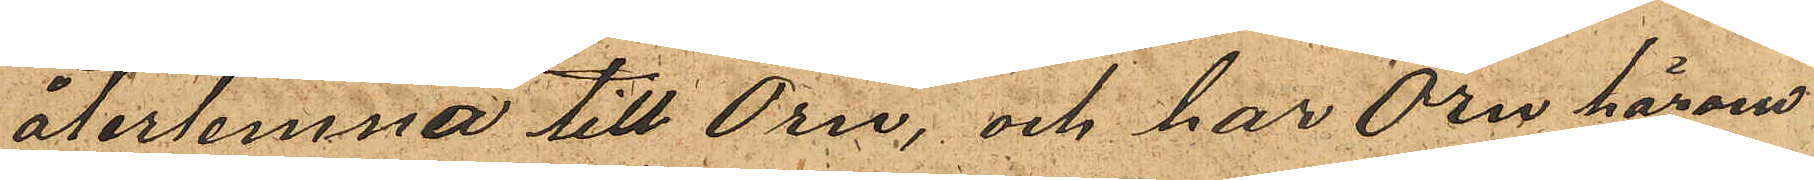återlemna till Örn, och har Örn härom
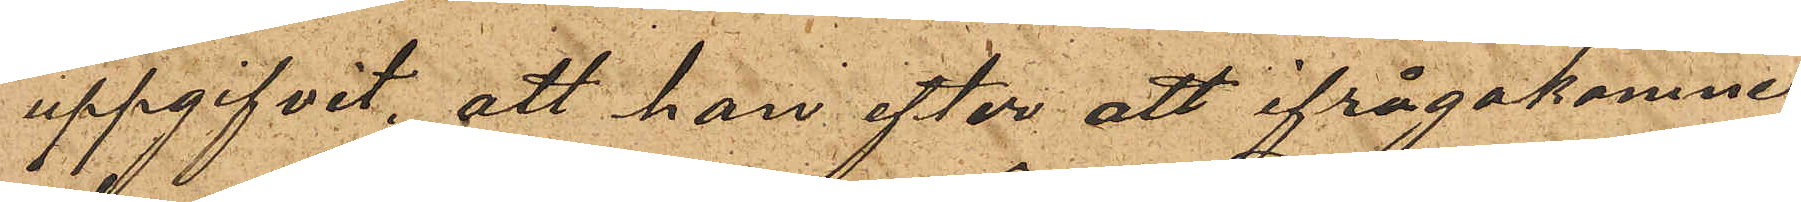uppgifvit, att han efter att ifrågakomne
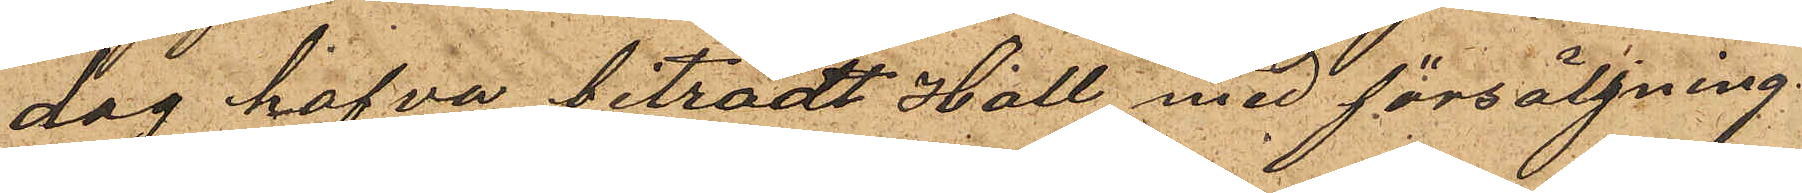dag hafva biträdt Hall med försäljning
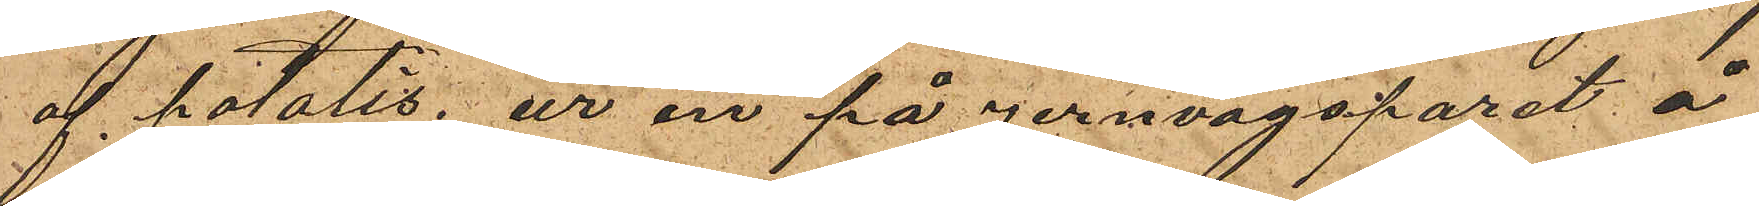af potatis ur en på Jernvagsparet å
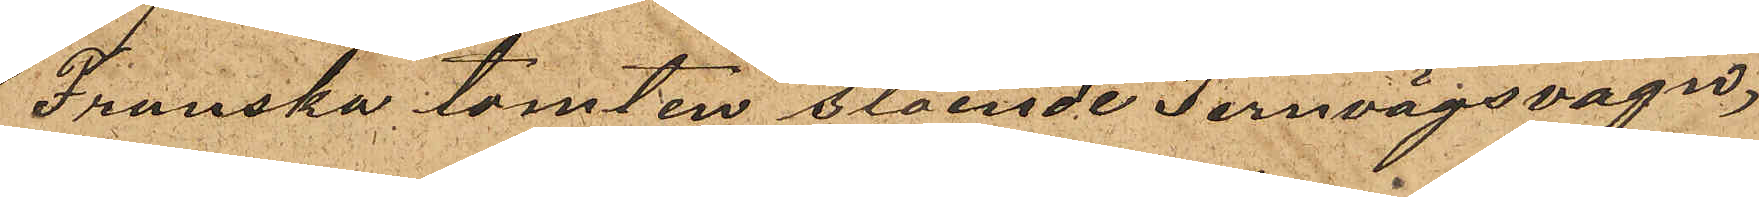Franska tomten stående Jernvägsvagn,
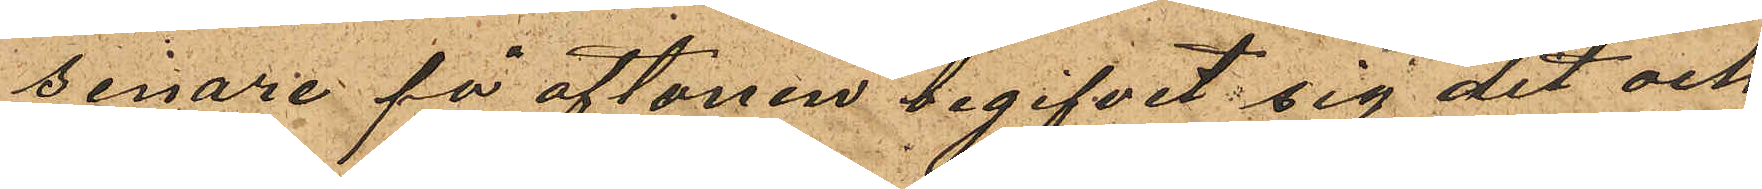senare på aftonen begifvit sig dit och
